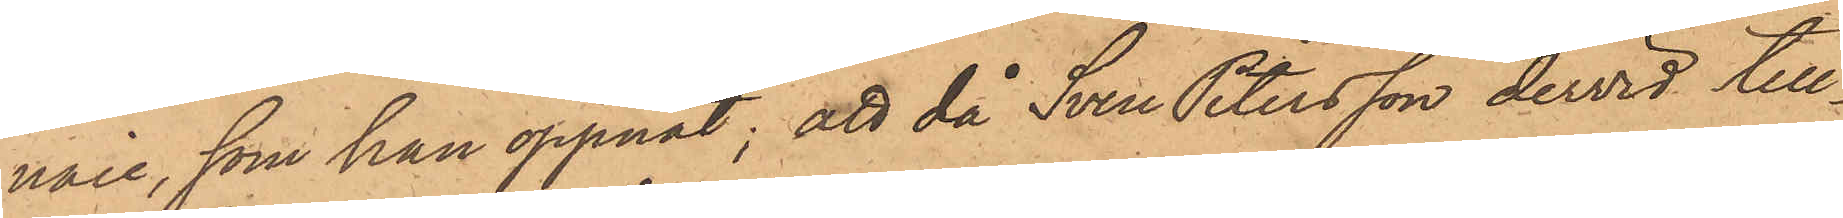naie, som han öppnat; att då Sven Petersson dervid till¬
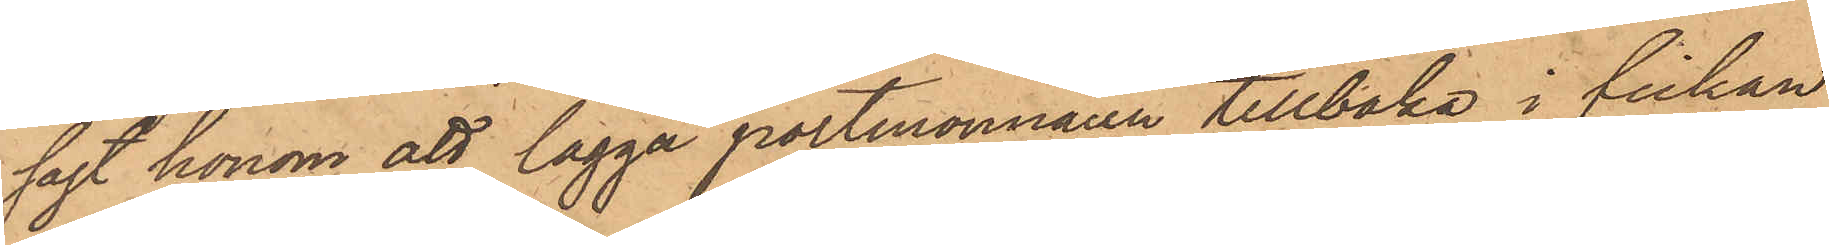sagt honom att lägga portmonnaien tillbaka i fickan
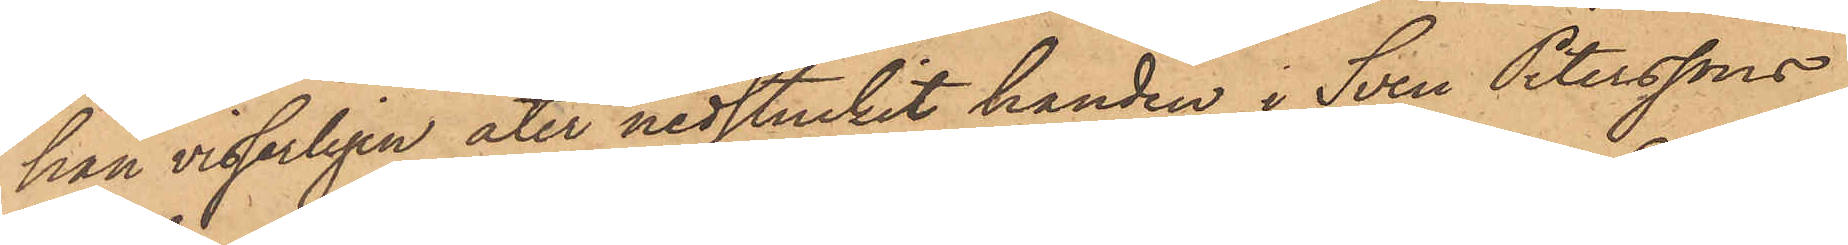han visserligen åter nedstuckit handen i Sven Peterssons
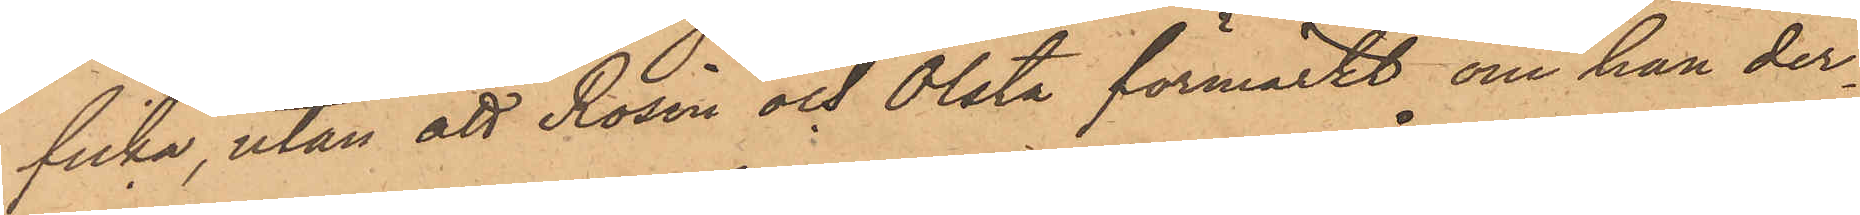ficka, utan att Rosin och Olsta förmärkt om han der¬
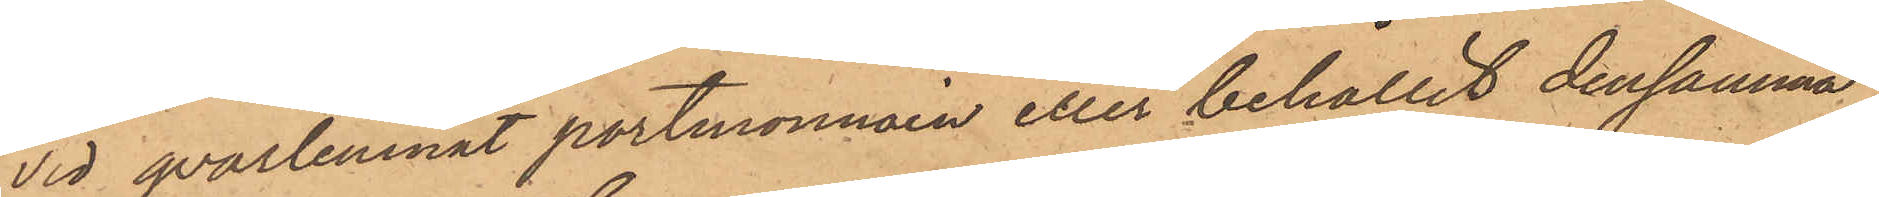vid qvarlemnat portmonnäen eller behållit densamma
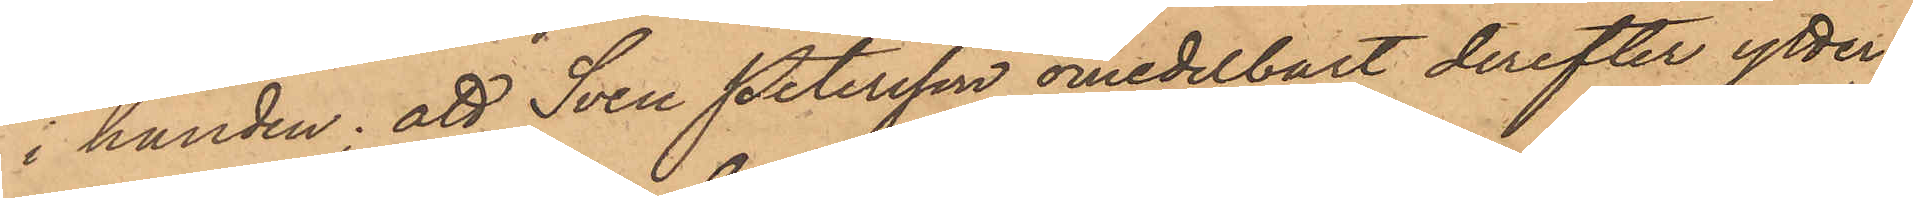i handen; att Sven Petersson omedelbart derefter ytter
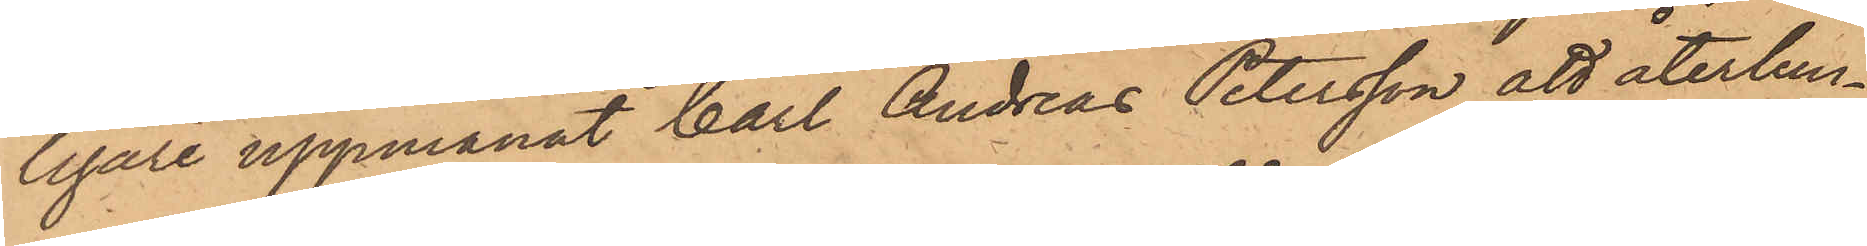ligare uppmanat Carl Andreas Petersson att återlem¬
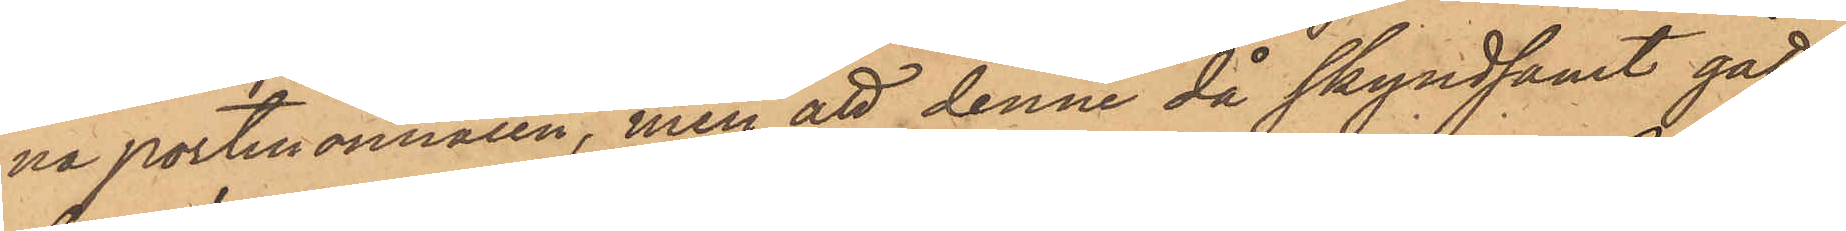na portmonnaien, men att denne då skyndsamt gått
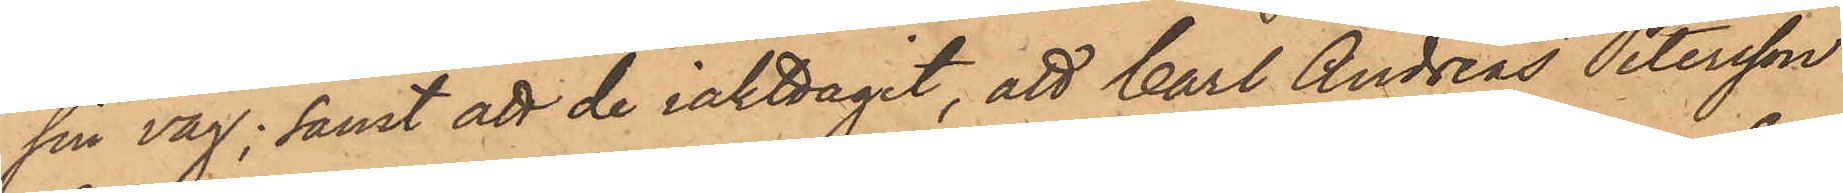sin väg; samt att de iakttagit, att Carl Andreas Petersson
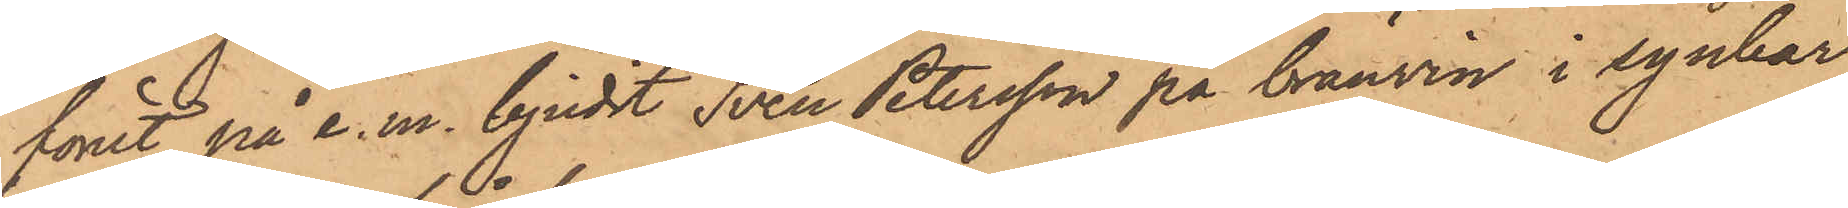förut på e. m. bjudit Sven Petersson på brännvin i synbar
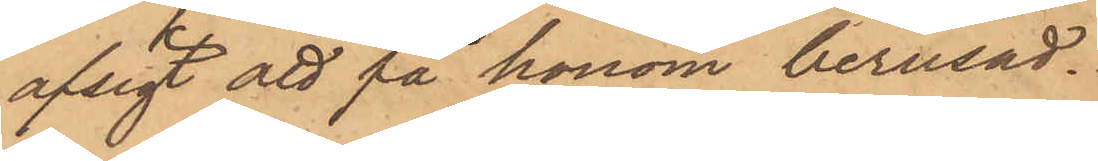afsigt att på honom berusad.
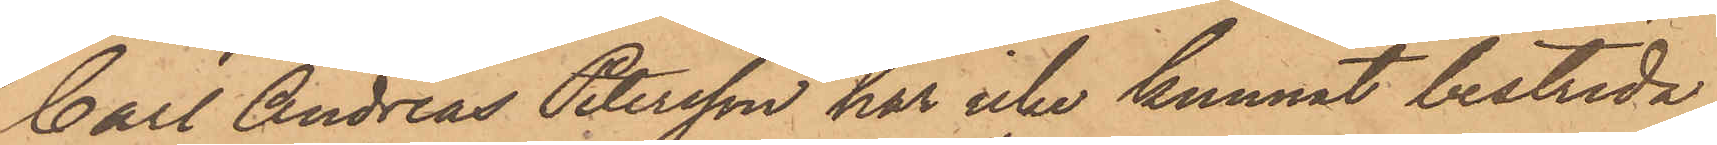Carl Andreas Petersson har icke kunnat bestrida
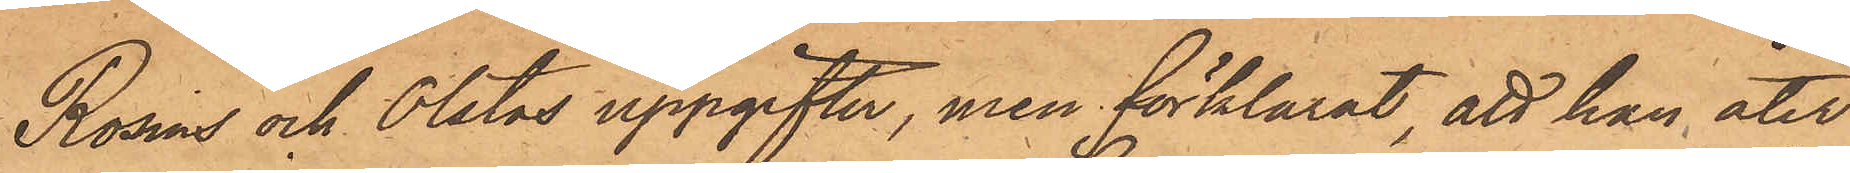Rosin och Olstas uppgifter, men förklarat, att han åter¬
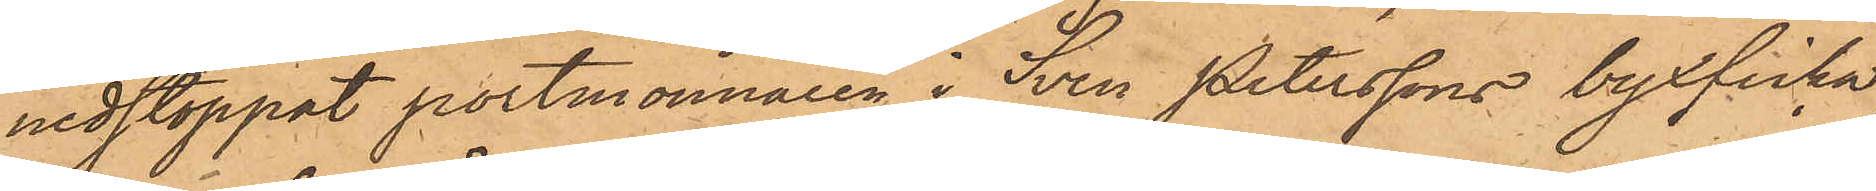nedstoppat portmonnaien i Sven Peterssons byxficka
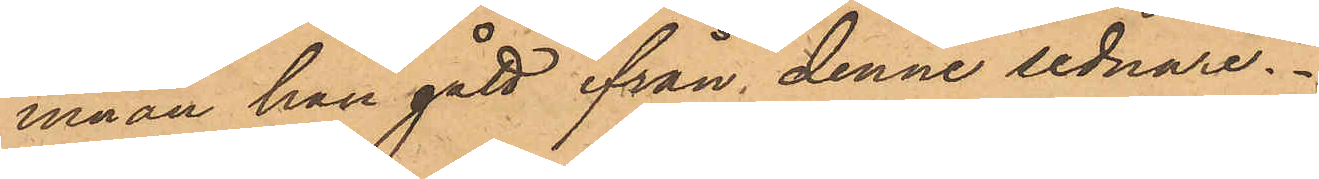innan han gått från denne sednare.
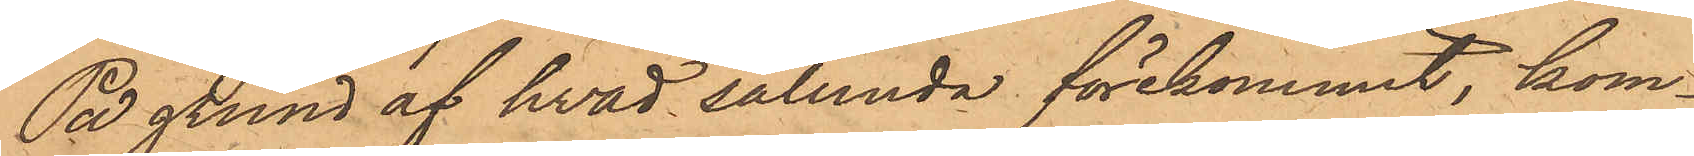På grund af hvad sålunda förekommit, kom¬
